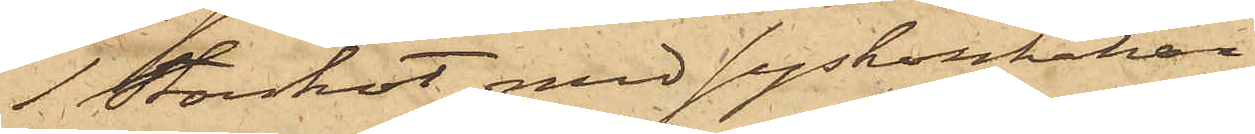1 storskot med syskonhakar
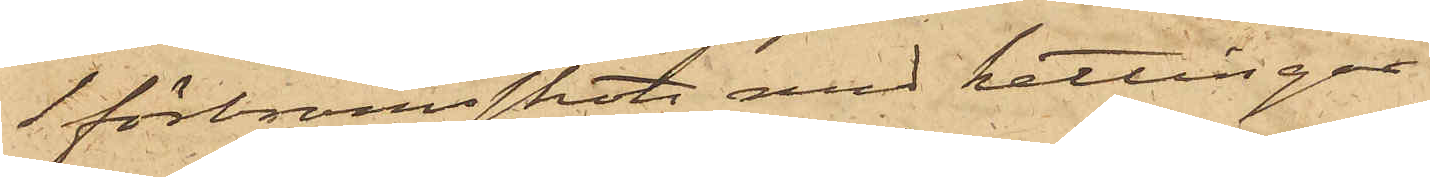1 förbramsskot med kättingar
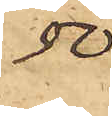50
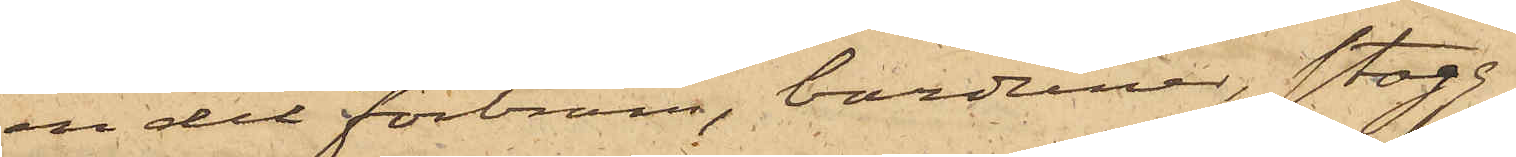en del förbram, barduner, stag
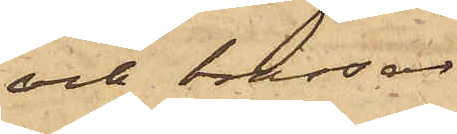och trossar
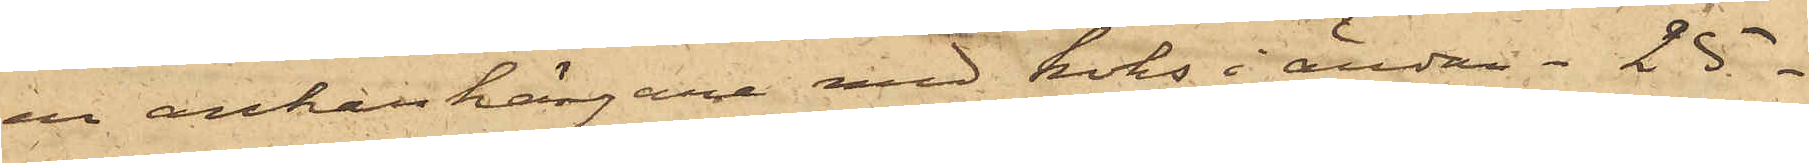en ankarhängare med koks i ändan 25.
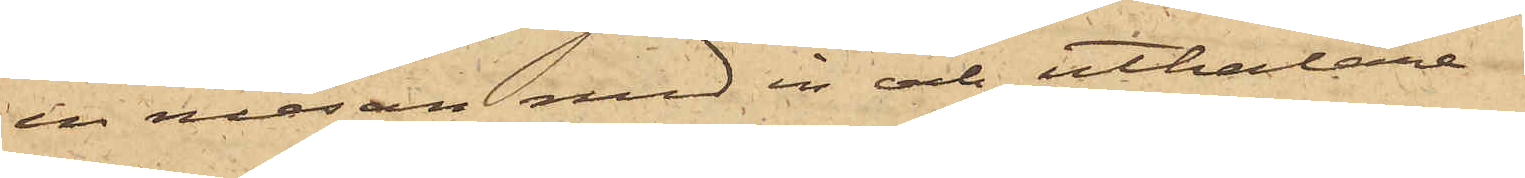en mesan med in och uthalare
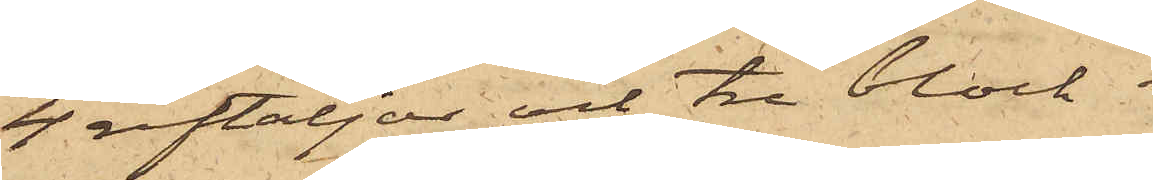4 reptaljor och tre block.
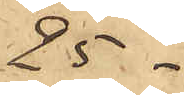25 -
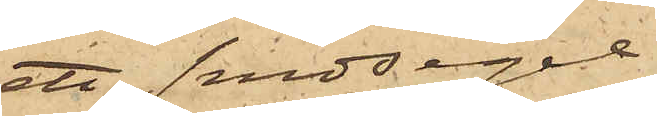ett snedsegel
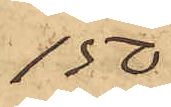150.
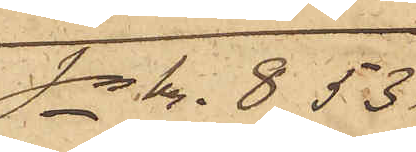S:a Kr. 853
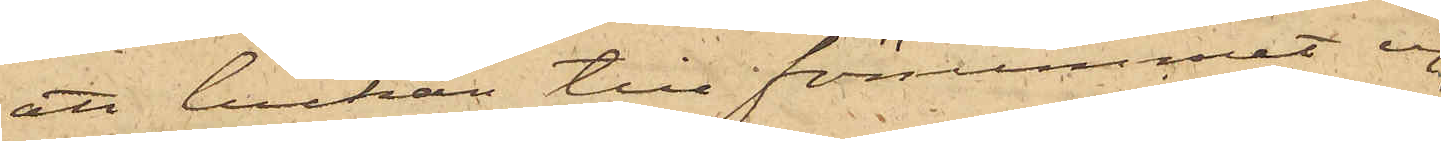att luckan till förrummet ej
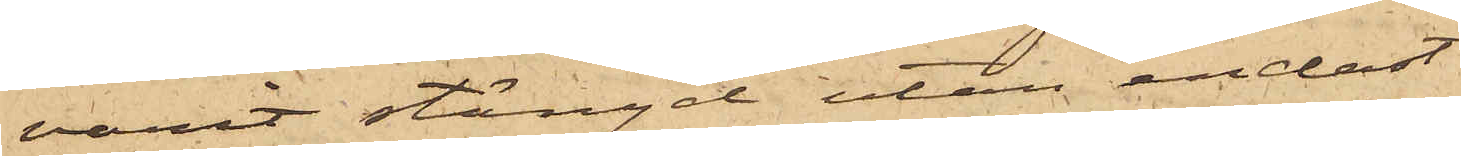varit stängd utan endast
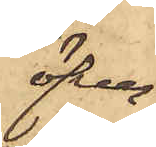öfver¬
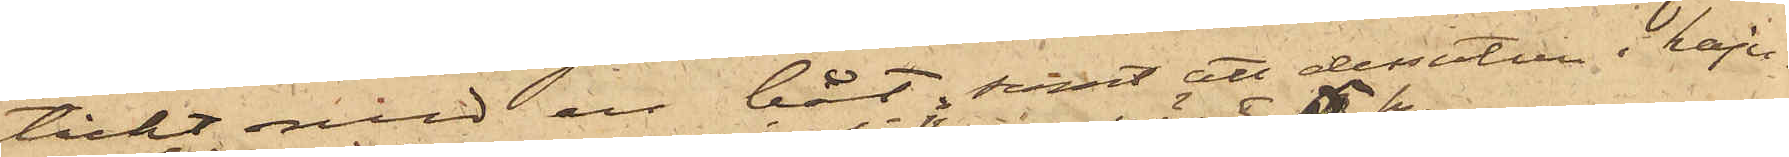täckt med en båt, samt att dessutom i kaju¬
